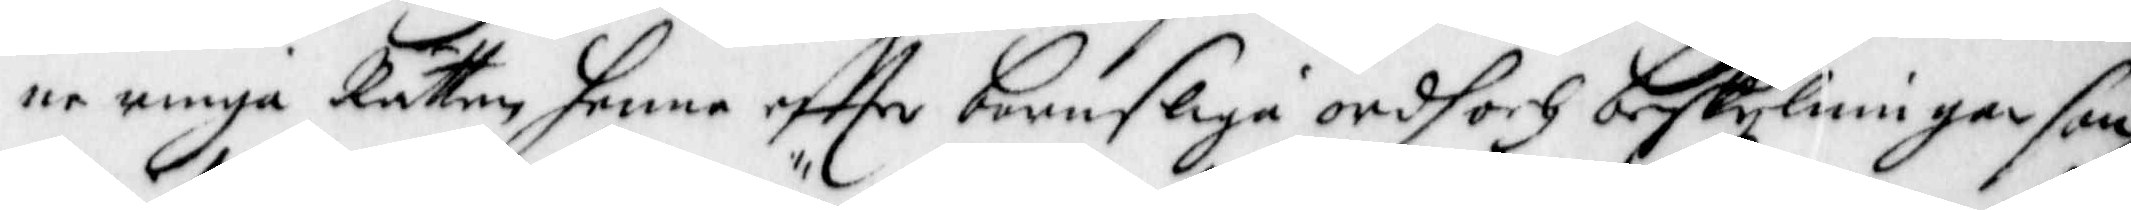ne unga Rätten henne effter barnsliga ordh och beskylningar som
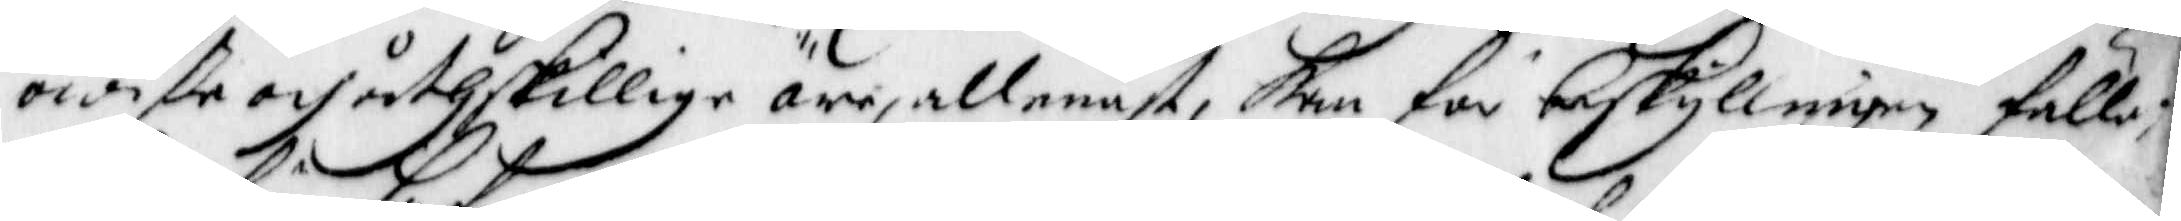owiße och åthskillige äro, allenast, Kan för beskyllningen fälle;
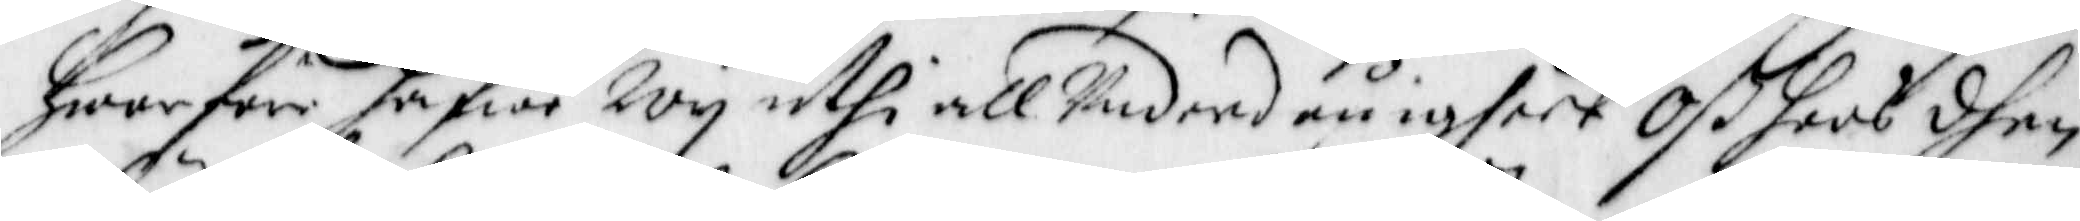Hwarföre hafwe Wij uthi all Underdånigheet Oß hoos dhen
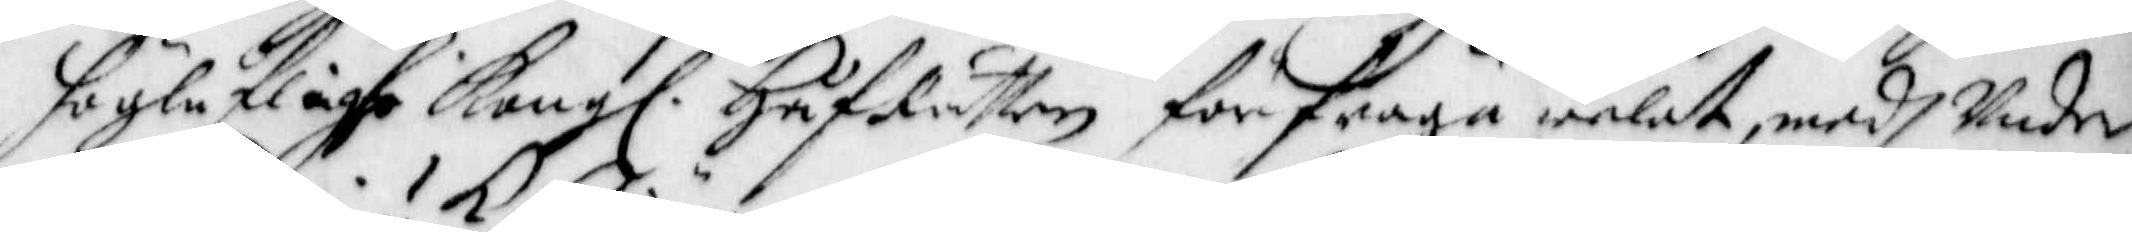höglåflighe Kong. Håf Rätten förfråga welat, medh Under¬
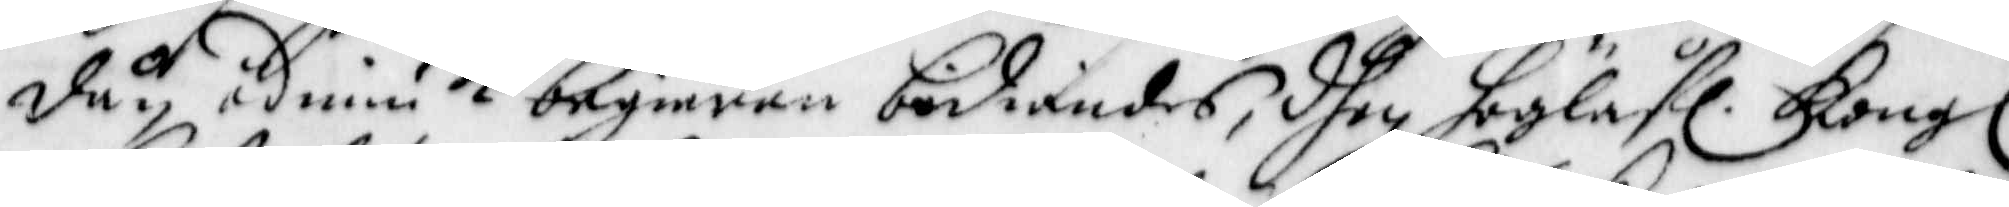dån ödmiuk begiäran bediandes, dhen Höglåf. Kong.
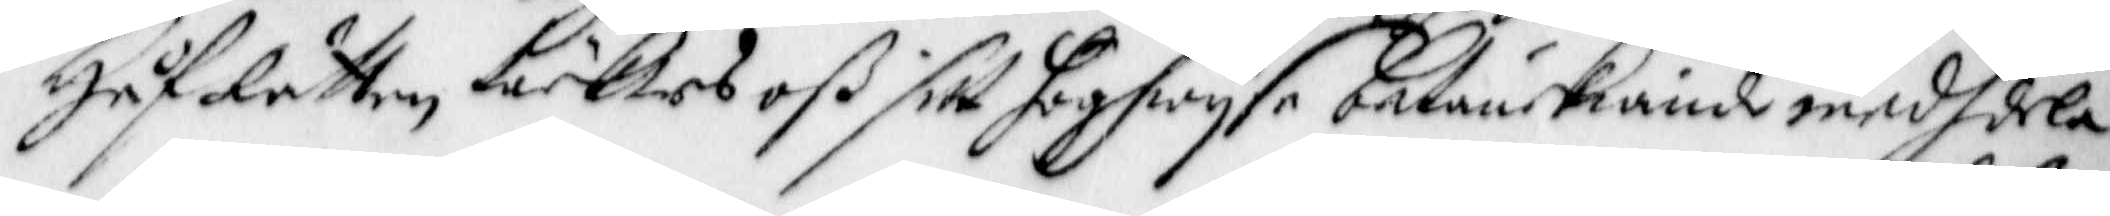Håf Rätten täcktes oß sitt höghwijse betänckiande medhdela
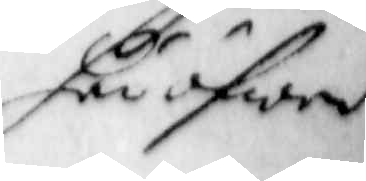häröfwer
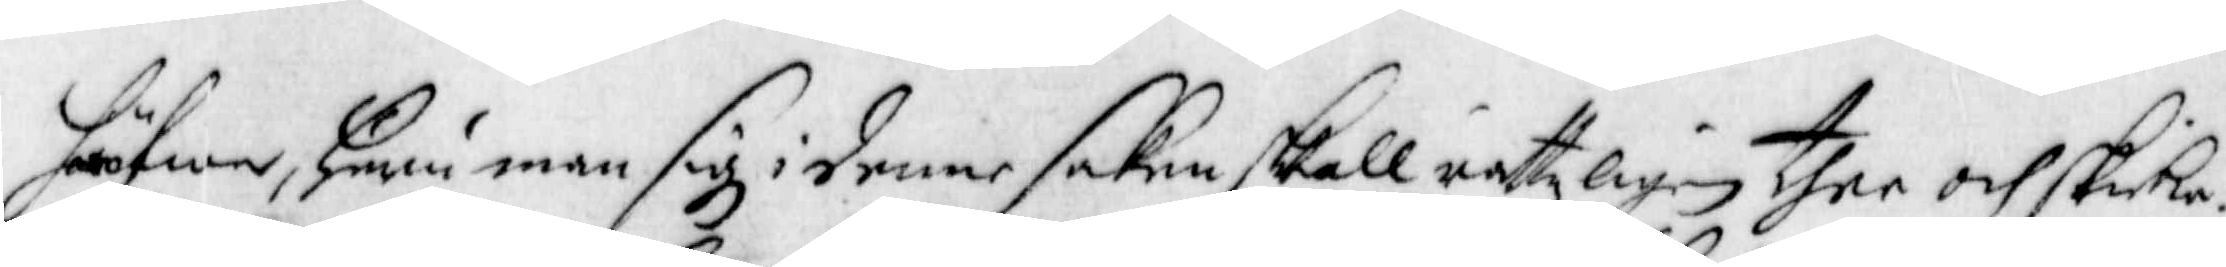häröfwer, huru man sig i denne saken skall rettzligen ther och skicka.
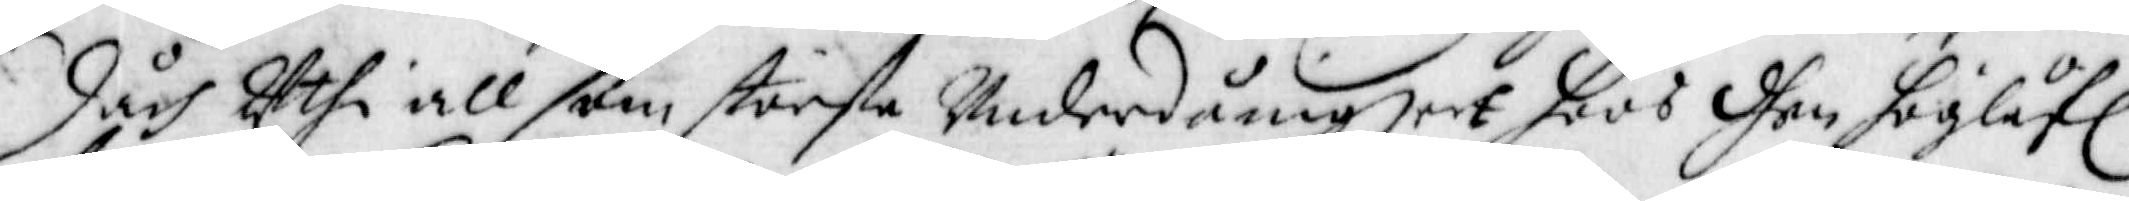Dåch Uthi all som största Underdånigheet hoos dhen höglåf.
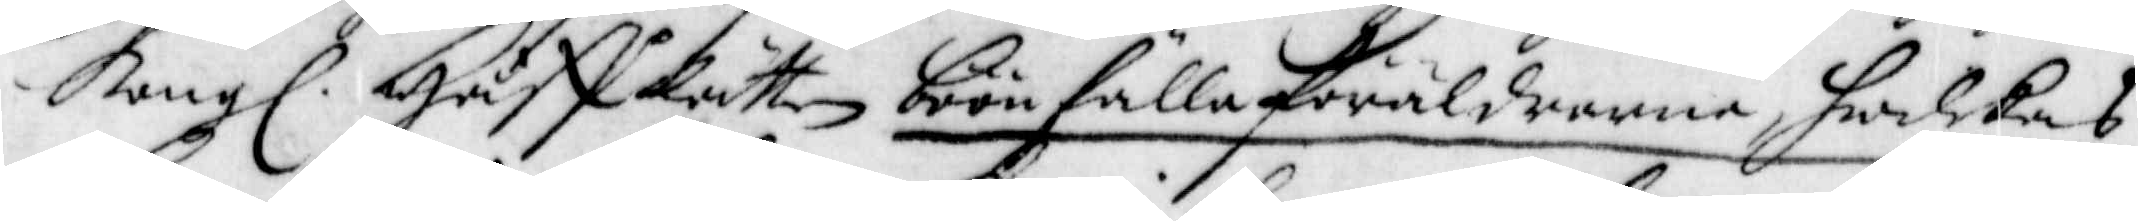Kong. Håff Rätten böre fälla föräldrarna hwilkas
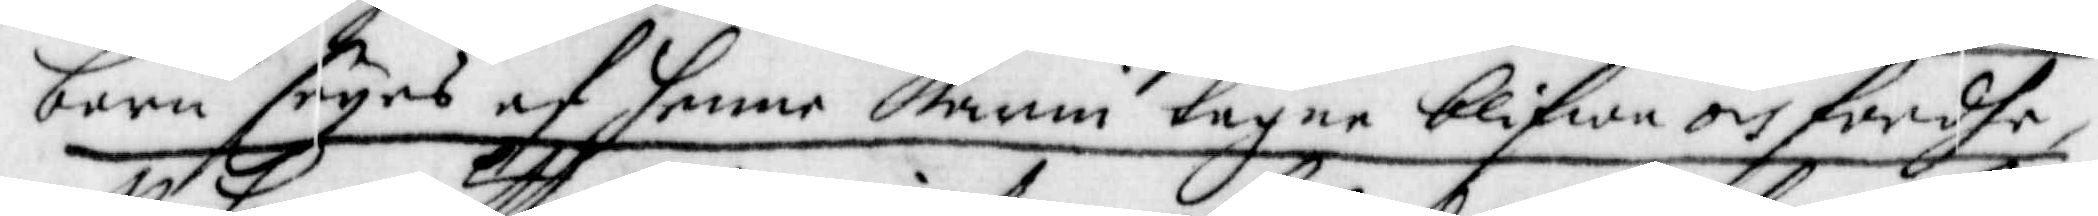barn seyes af henne Karin tagne blifwa och fördhe,
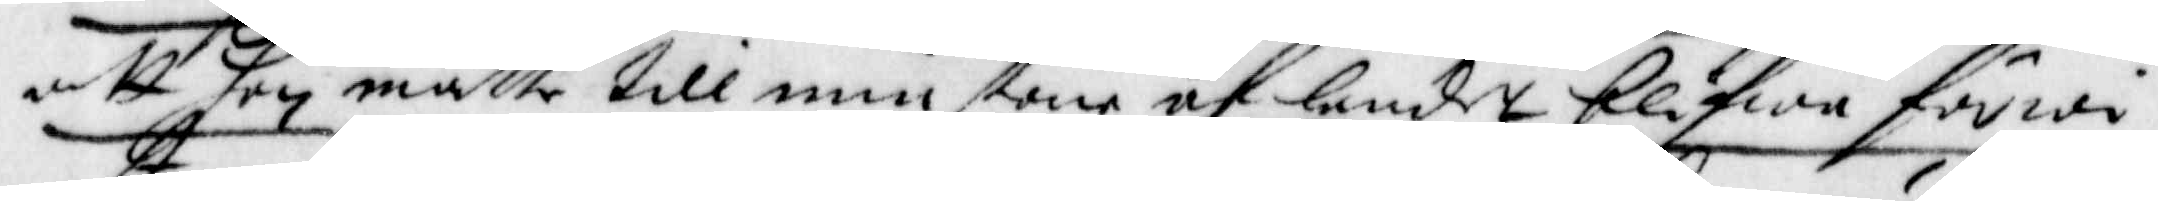att hon måtte till minstone af landet blifwa förwi¬
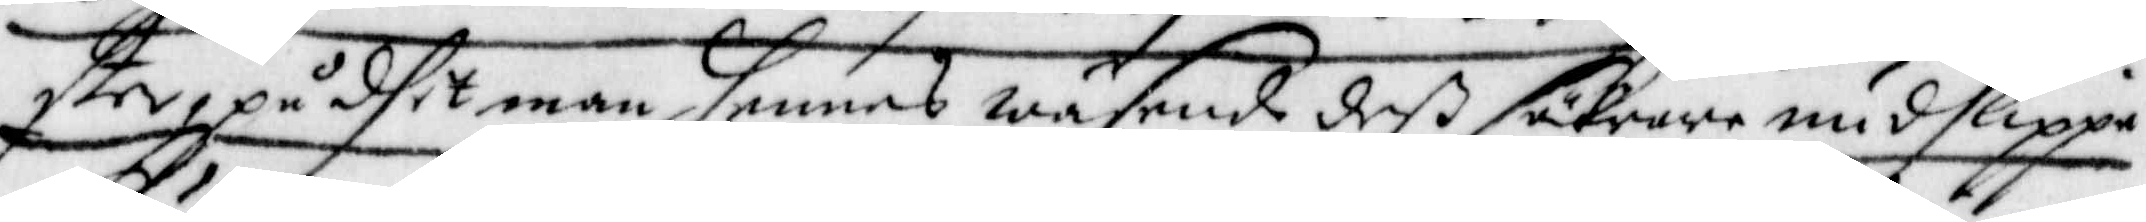ster, på dhet man hennes wäsende deß säkrare undslippa
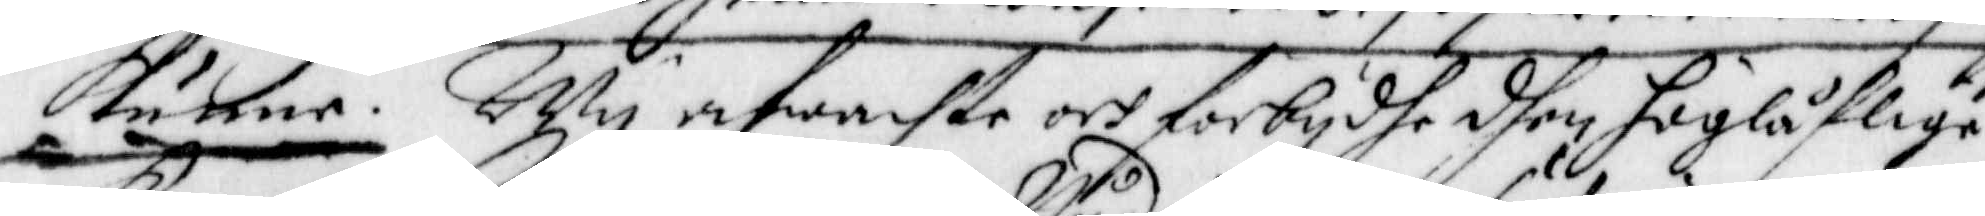Kunne. Wij afwachte och förbijdhe dhen höglåflige
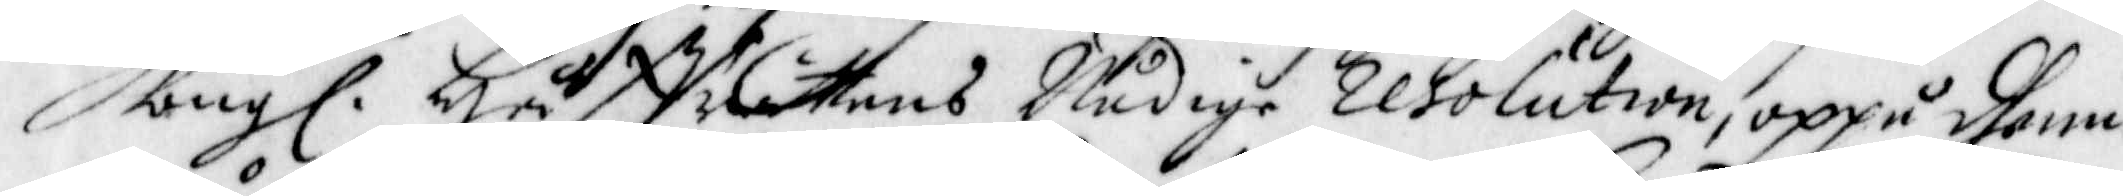Kong. Håffrättens Nådige Resolution, oppå dhenne
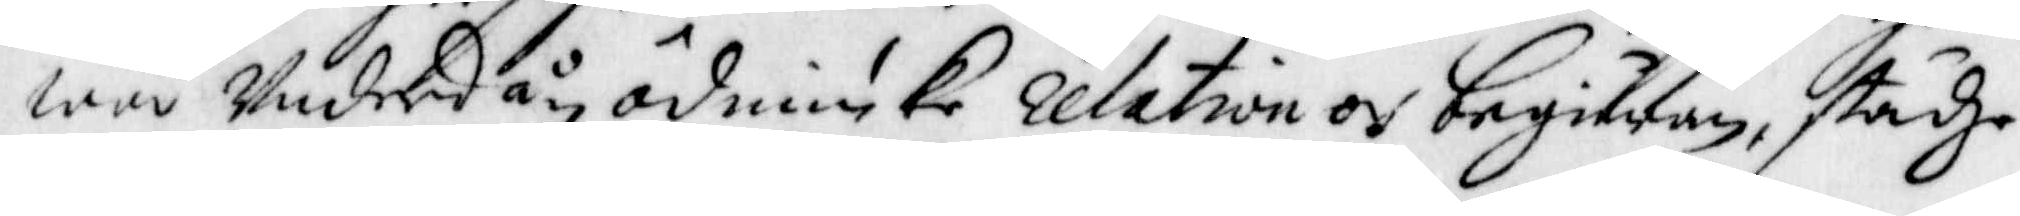wår Underdån Ödmiuke Relation och begiäran, städze
